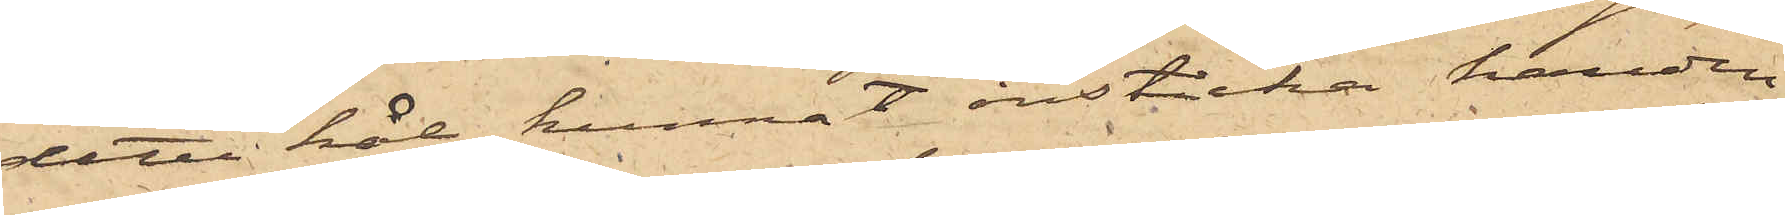detta hål kunnat insticka handen
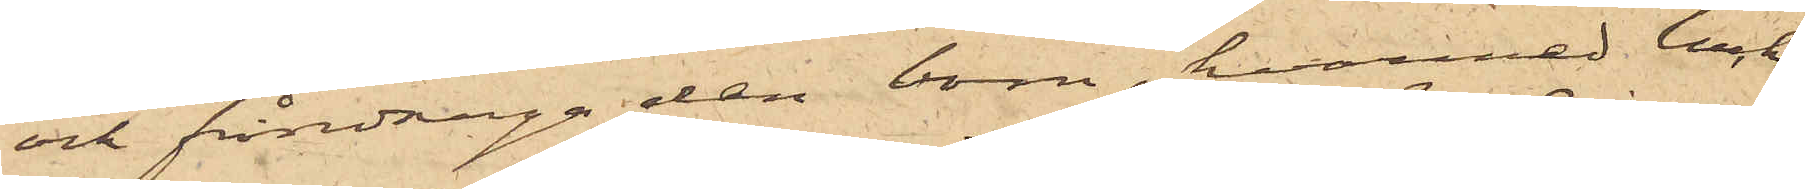och fråndraga den bom, hvarmed luckan
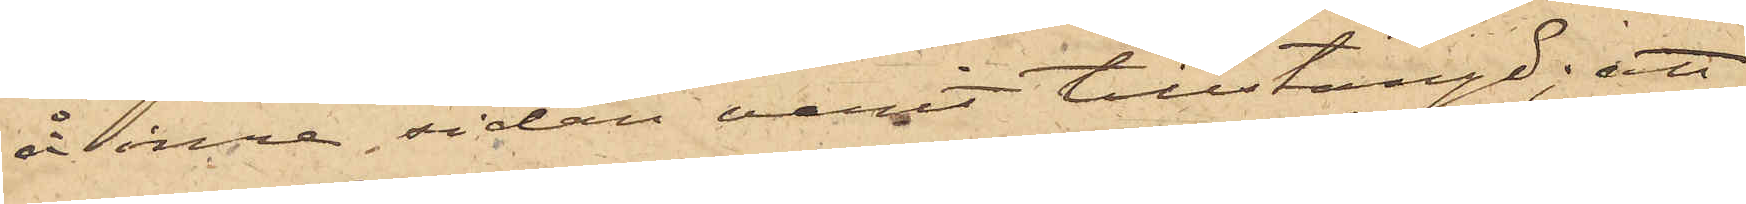å inre sidan varit tillstängd; att
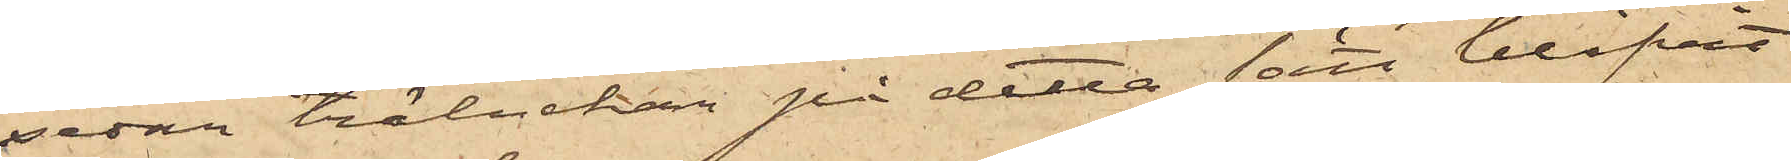sedan träluckan på detta sätt blifvit
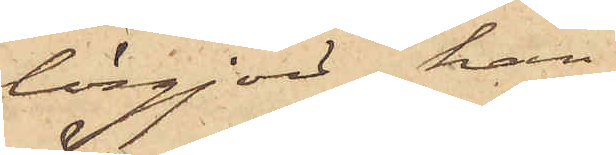lösgjord, han
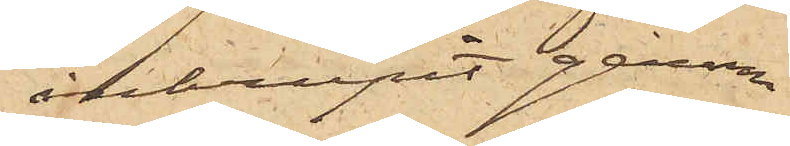inkrupit genom
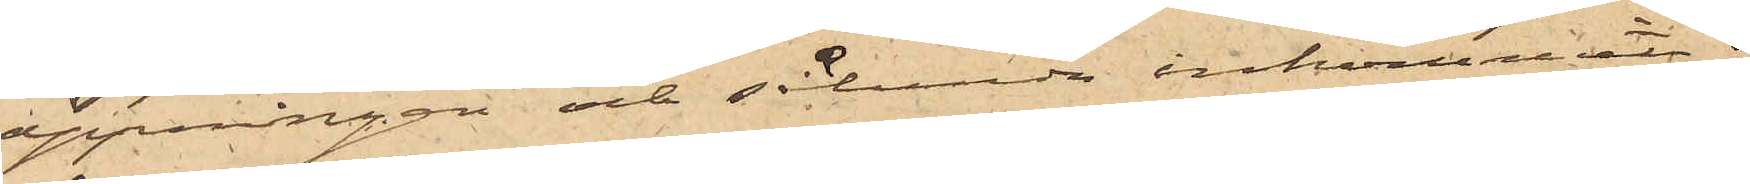öppningen och sålunda inkommit i
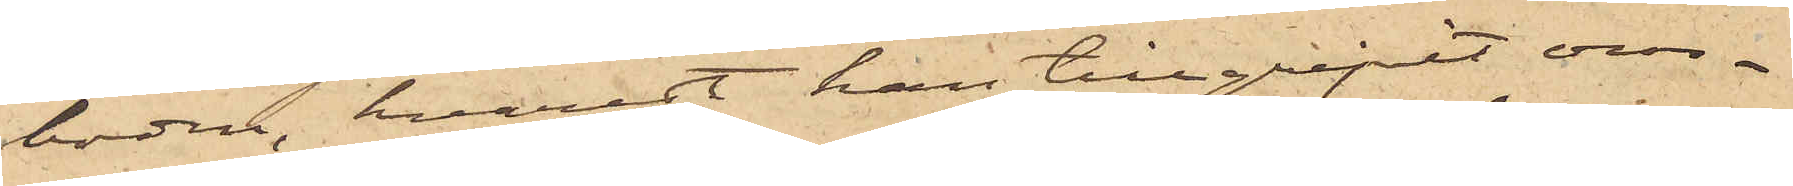boden, hvarest han tillgripit om¬
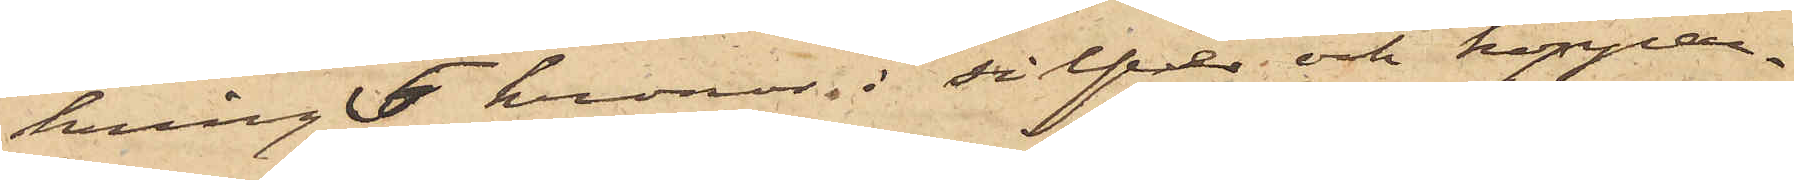kring 5 kronor i silfver och koppar¬
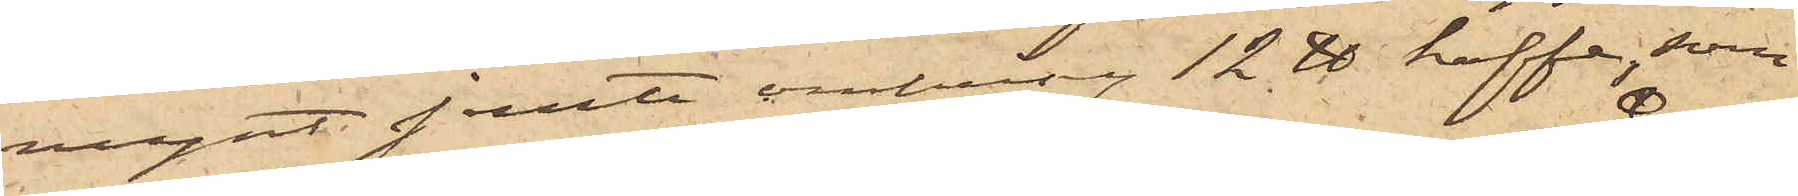mynt jemte omkring 12 ℔ kaffe, som
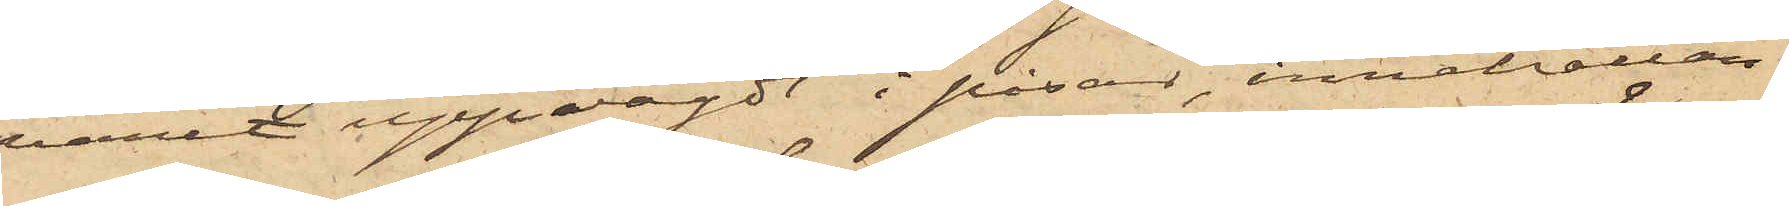varit uppvägdt i påsar, innehållan¬
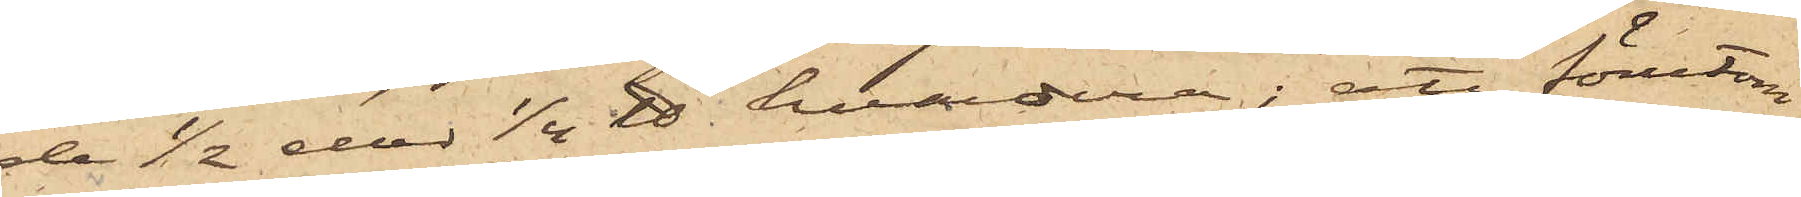de ½ eller 1/4 ℔ hvardera; att förutom
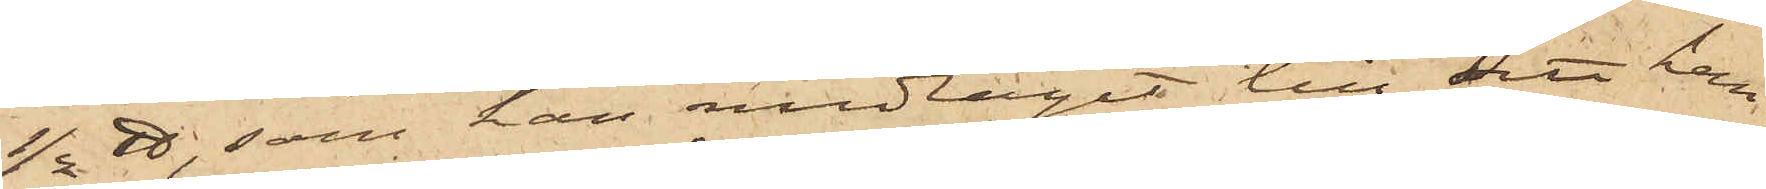½ ℔ som han medtagit till sitt hem,
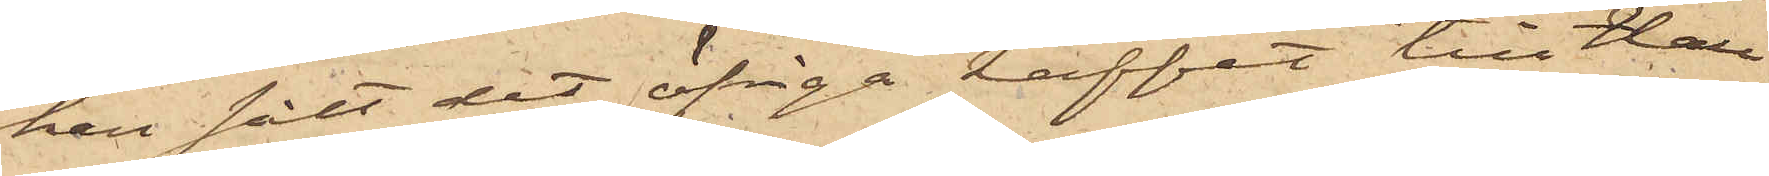han sålt det öfriga kaffet till Hall
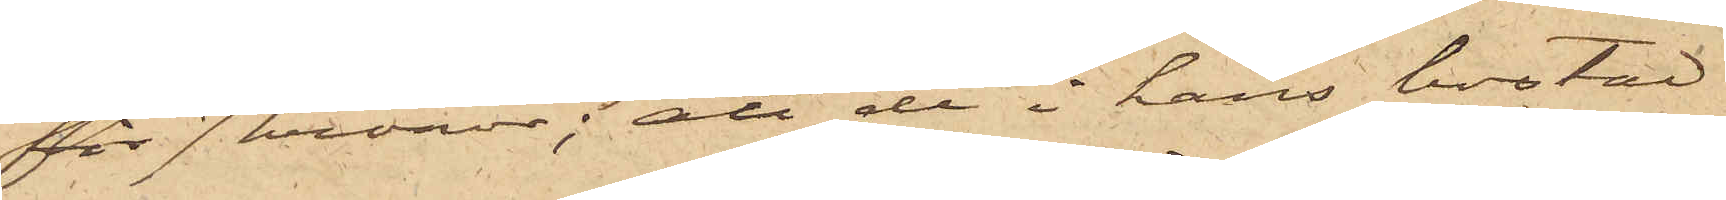för 7 kronor; att de i hans bostad
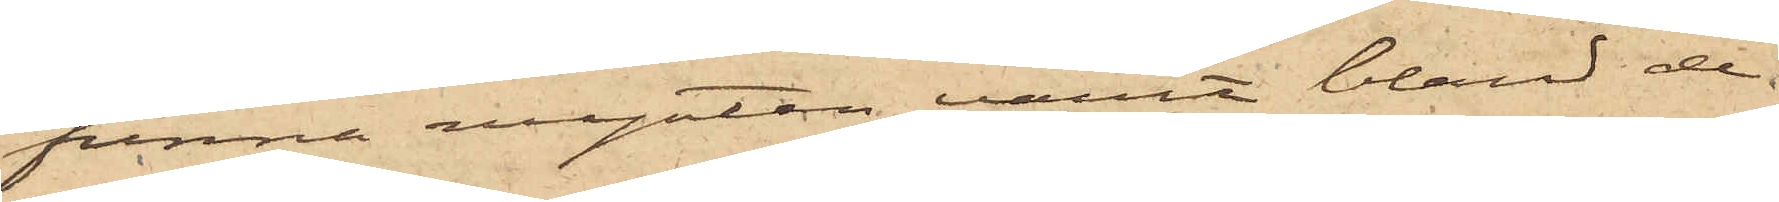funne mynten varit bland de
